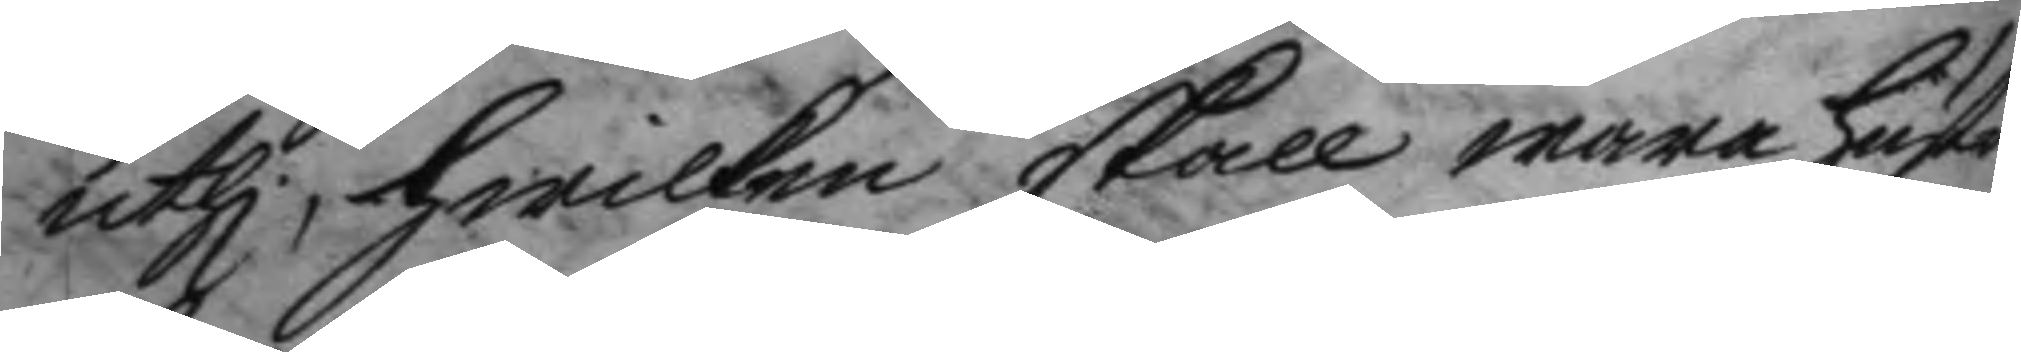uthi, hwilken skall wara hustru
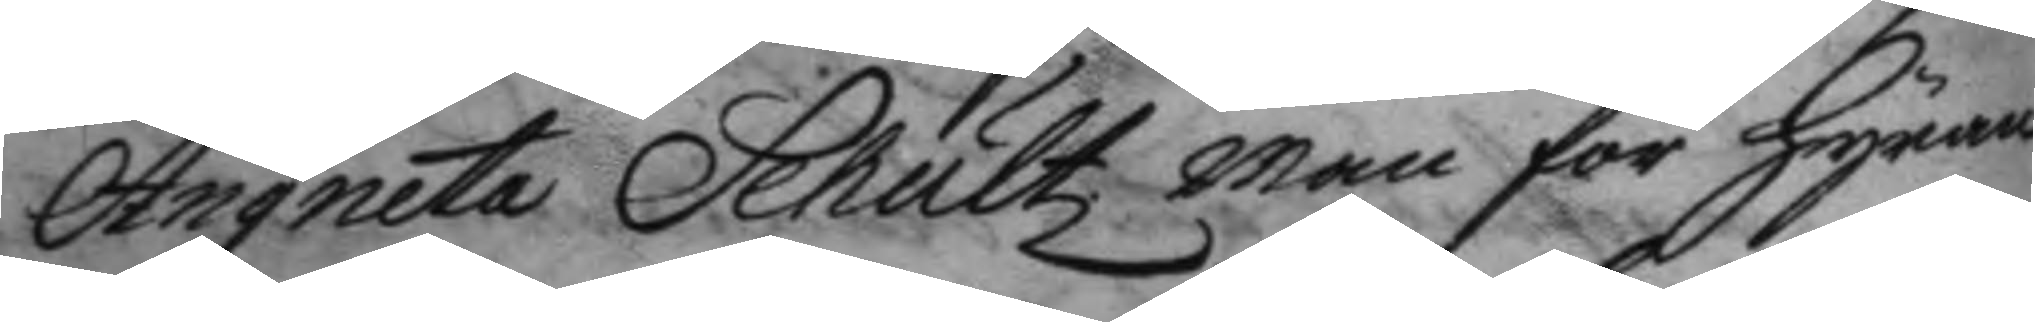Angneta Schultz man för hyran
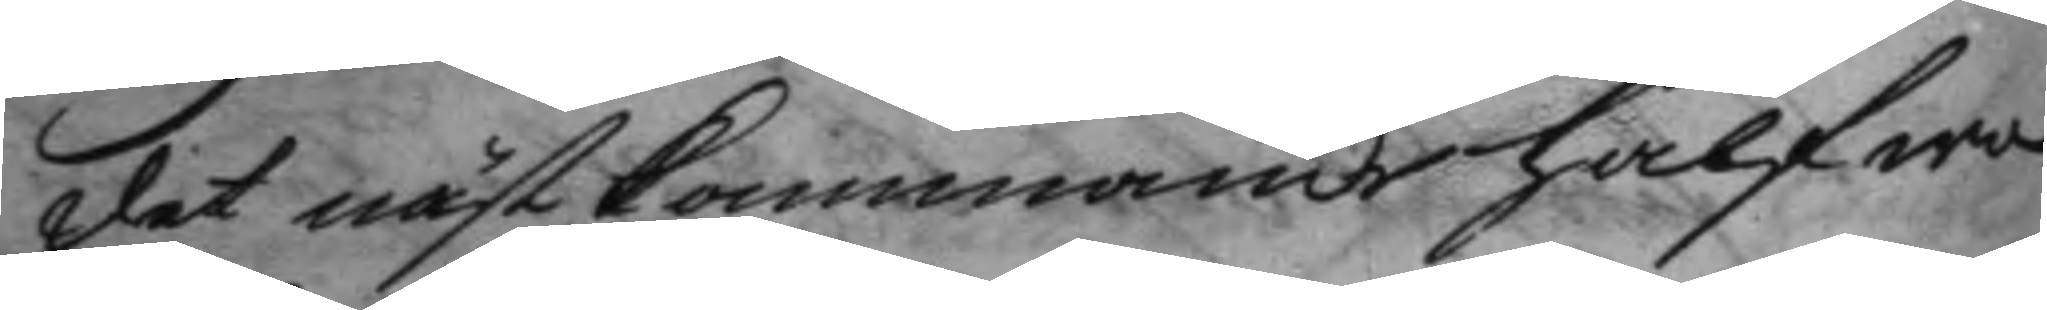det nästkommande halfwa
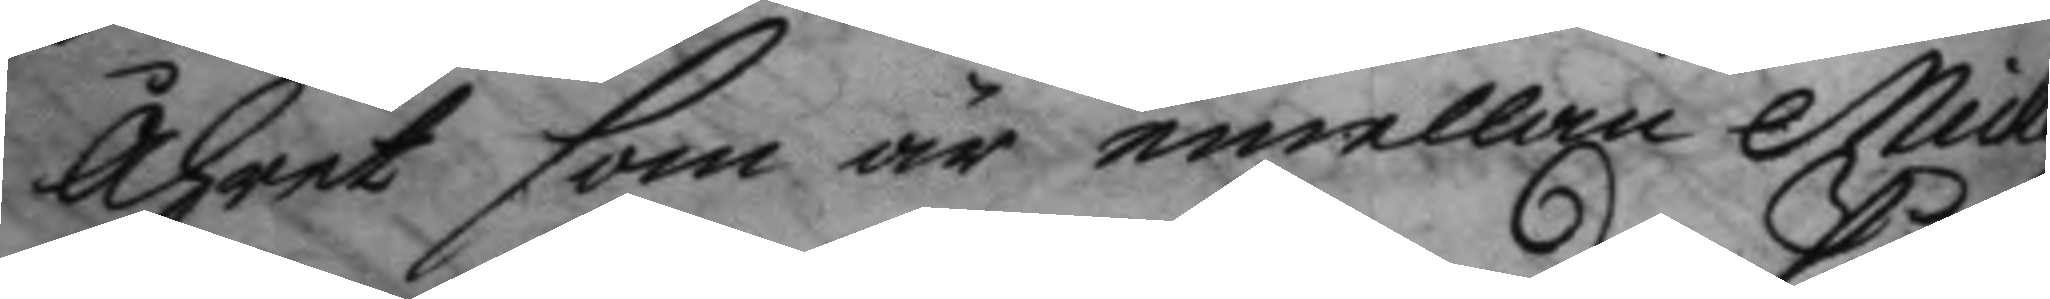åhret som är emellan Micka¬
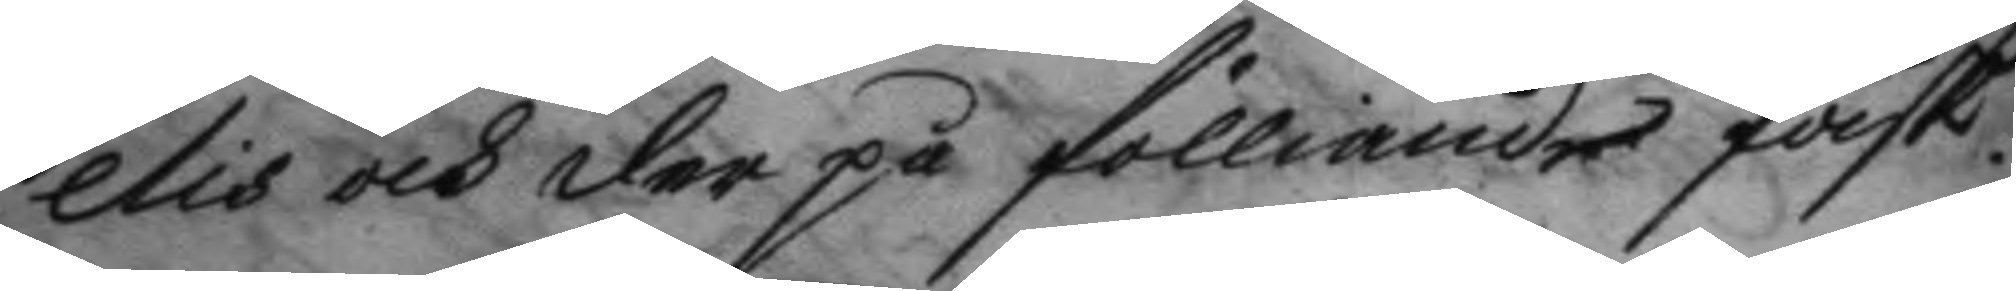elis och der på fölliande Påsk.
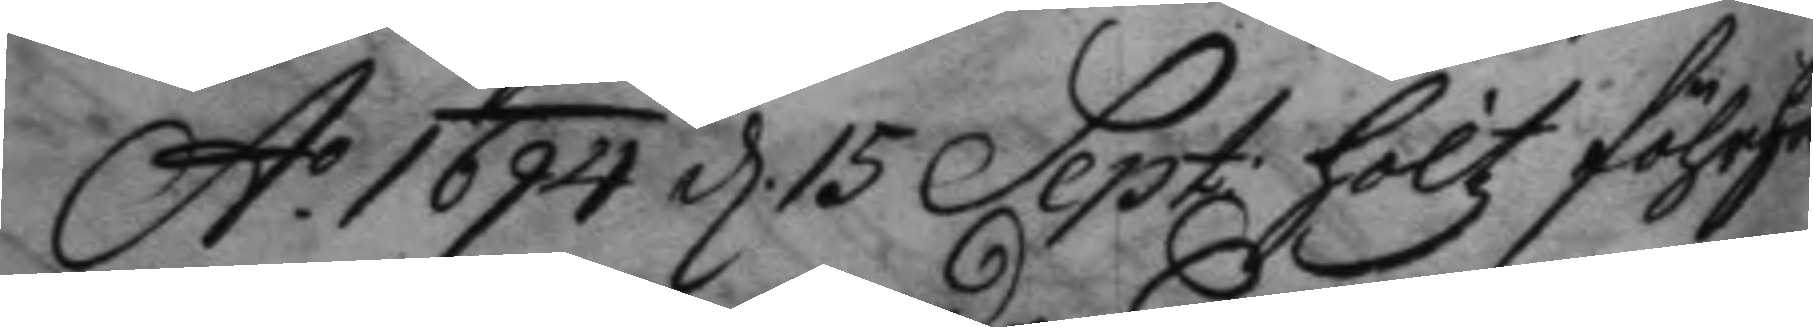A.o 1694 d. 15 Sept: höltz förhör
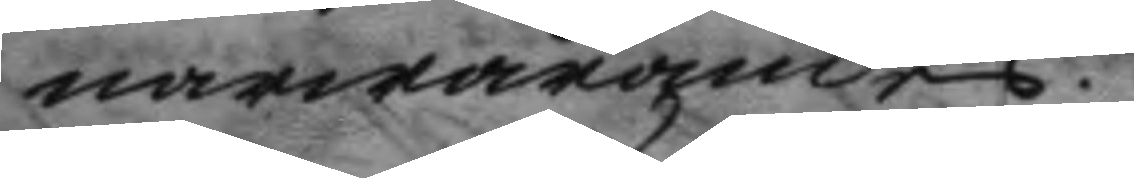närwarandes.
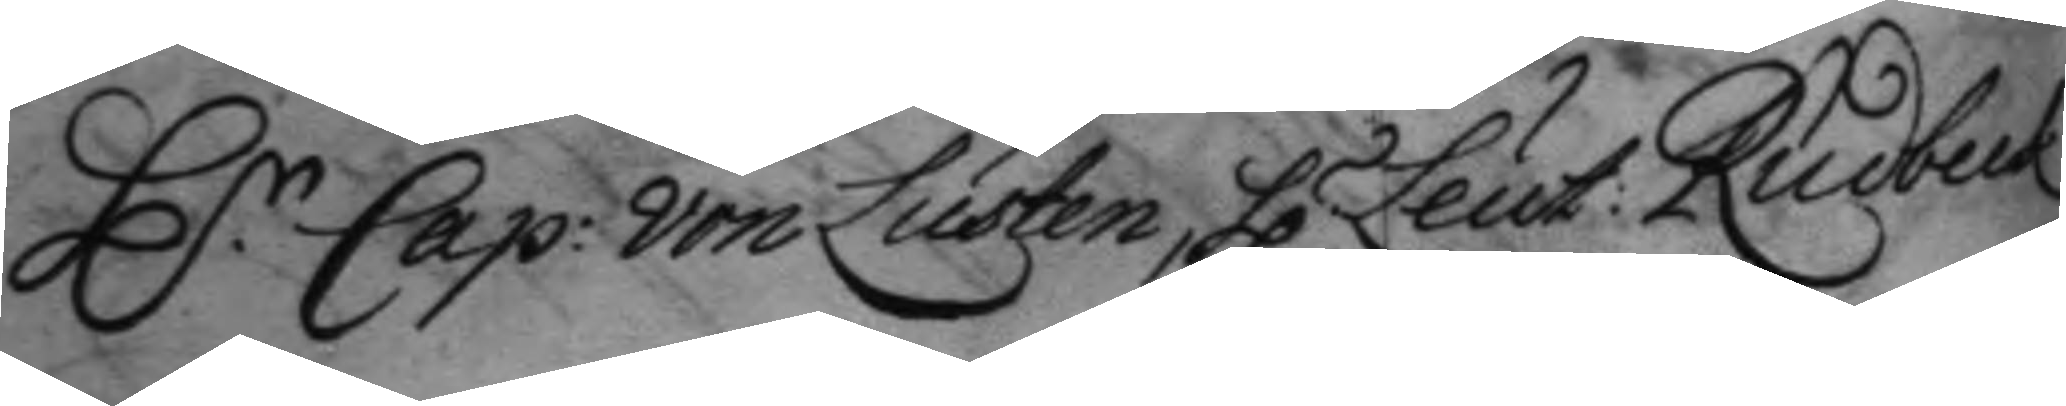H.r Cap: von Lusten, H.r Leut: Rudbeck
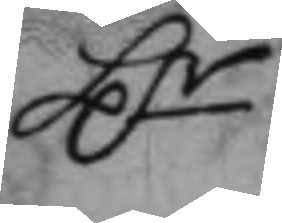H.r
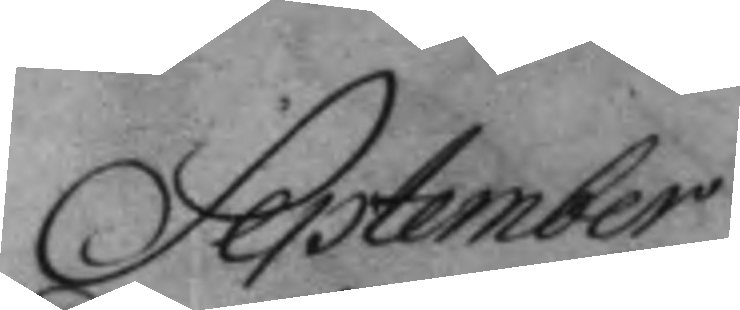September
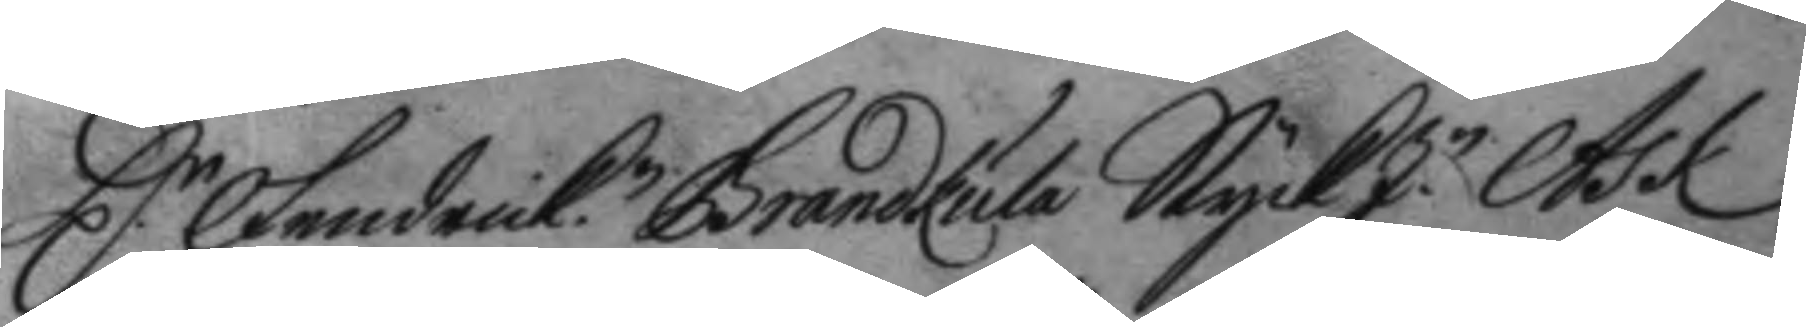H.r Fendrick Brandkula StyckJ.n Ask
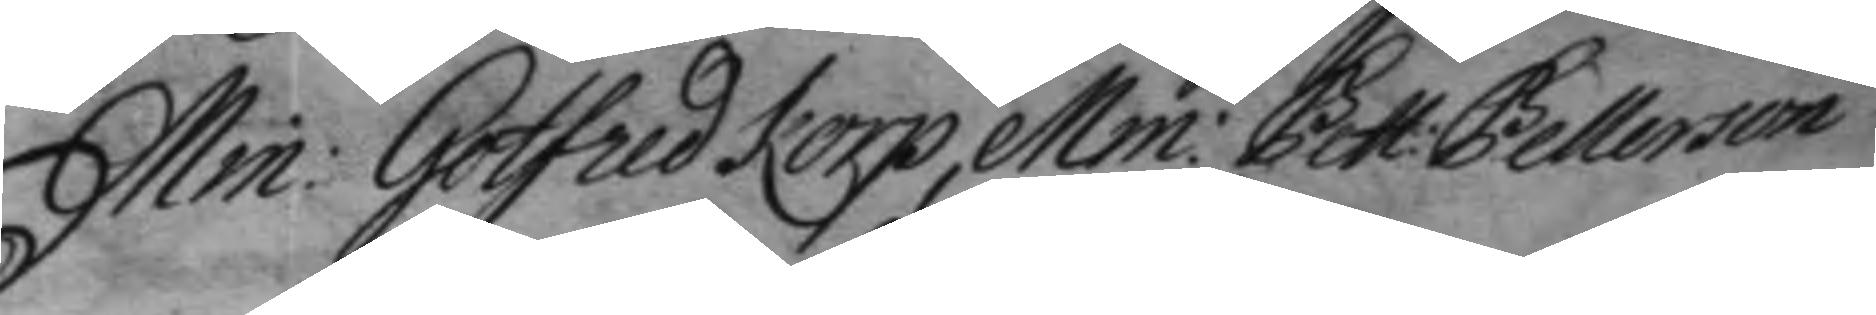Min. Gotfred Korp, Mm: Pett: Petterson
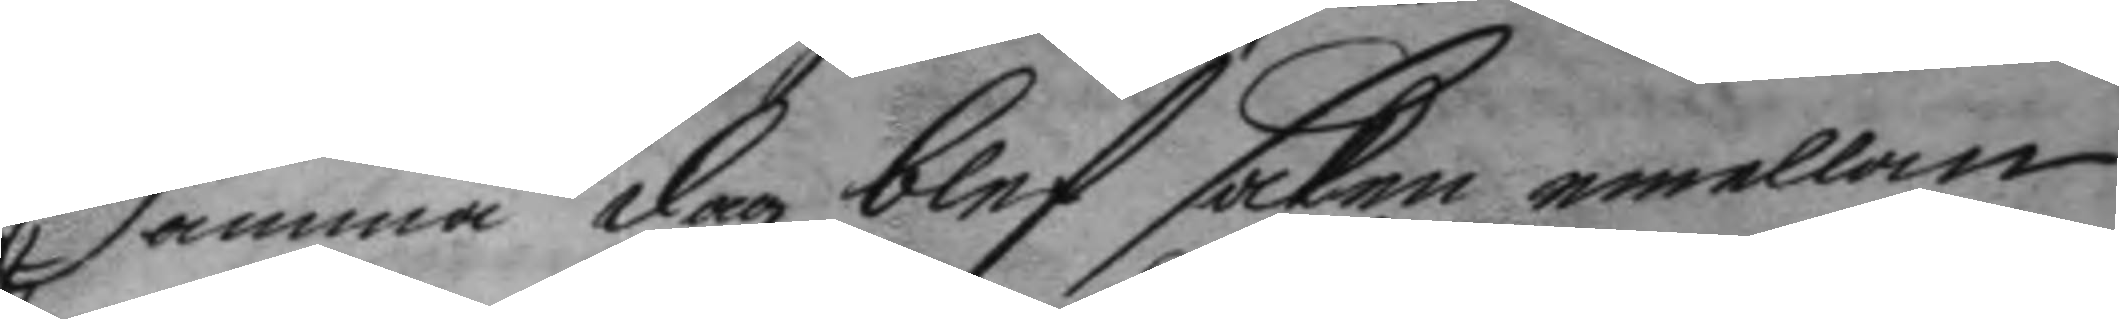Samma dag blef saken emellan
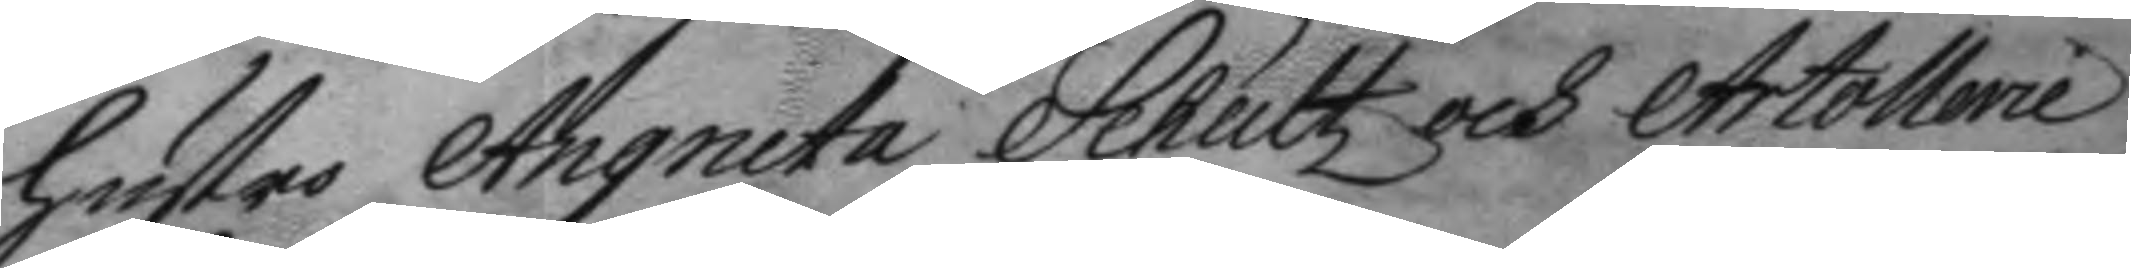hustro Angneta Schultz och rtollerie
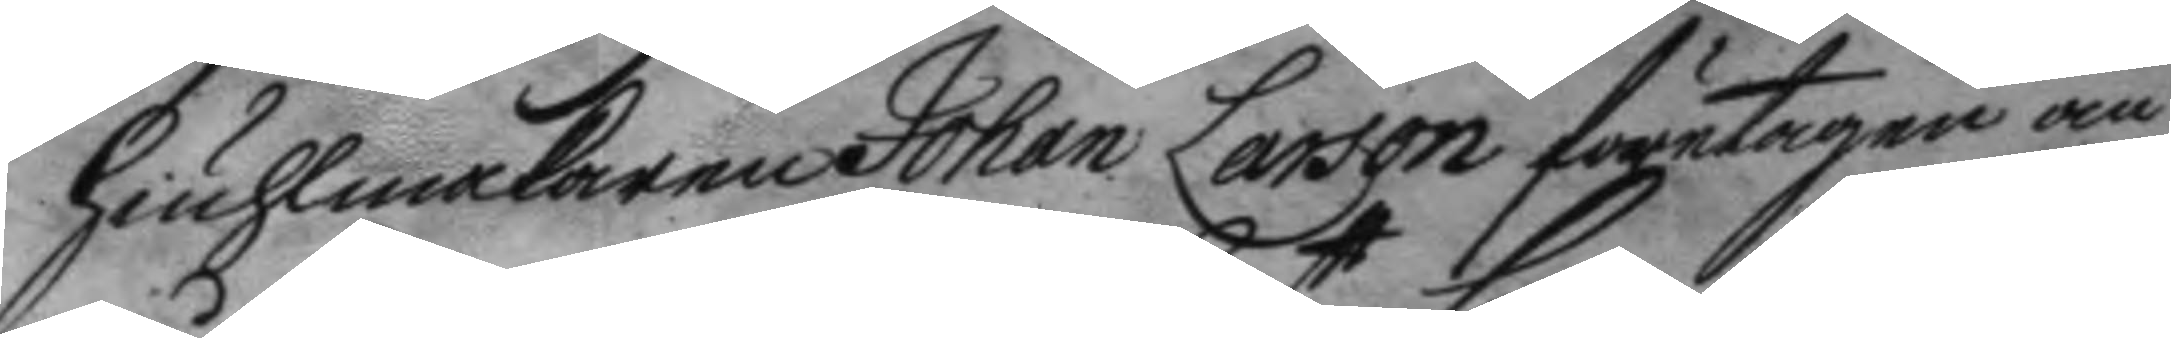hiuhlmakaren Johan larsson företagen om¬
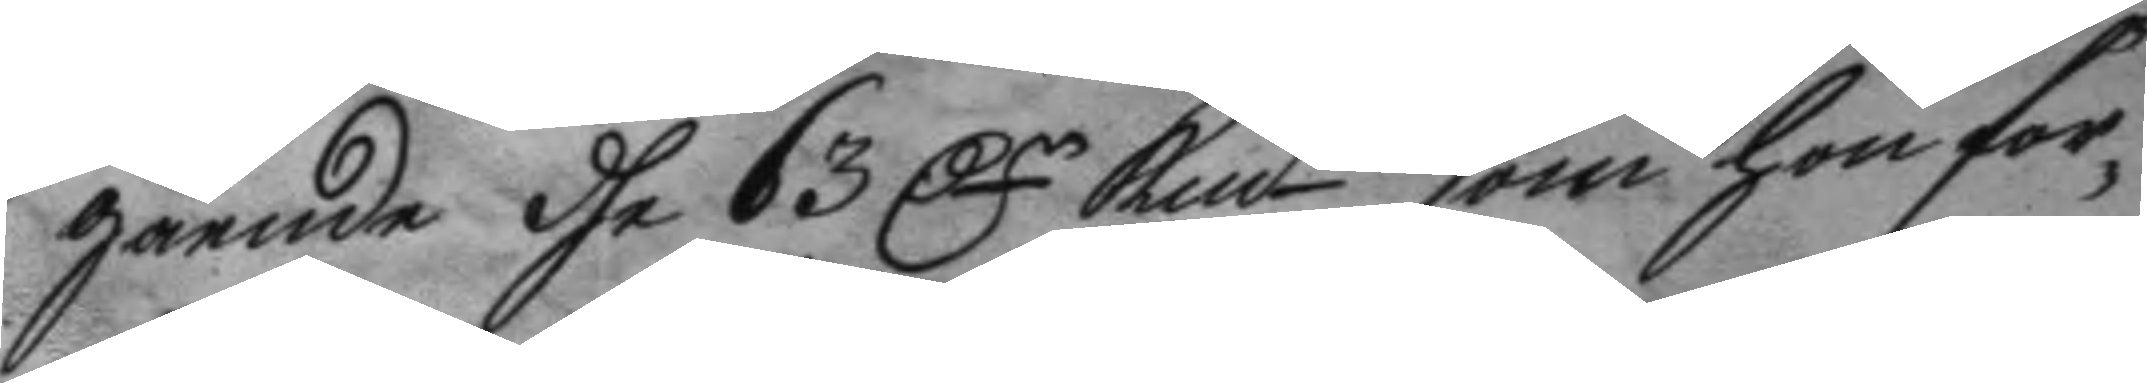gående dhe 63 Dr Kmtt som hon for¬
